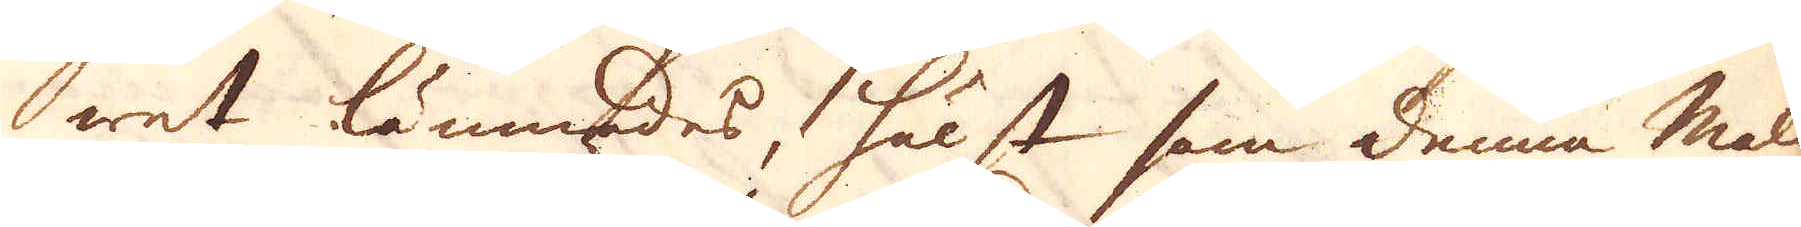wet lämnades, hälst som denna malm
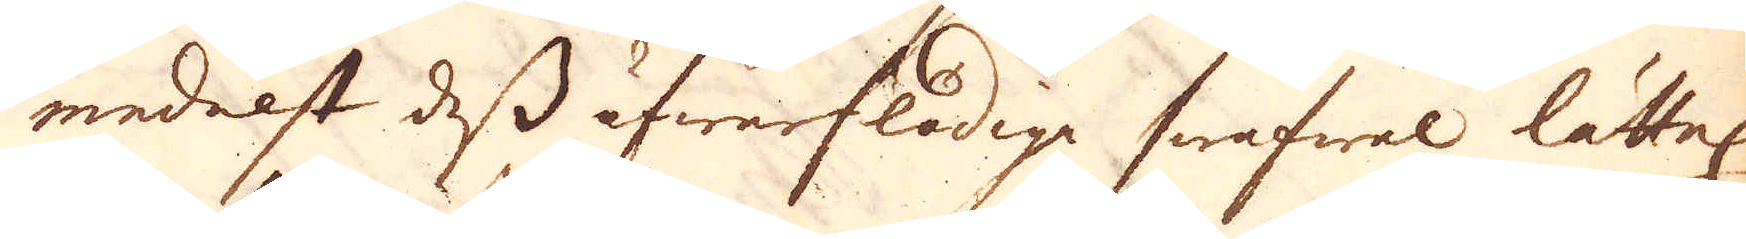medelst dess öfwerflödige swafwel lättel:
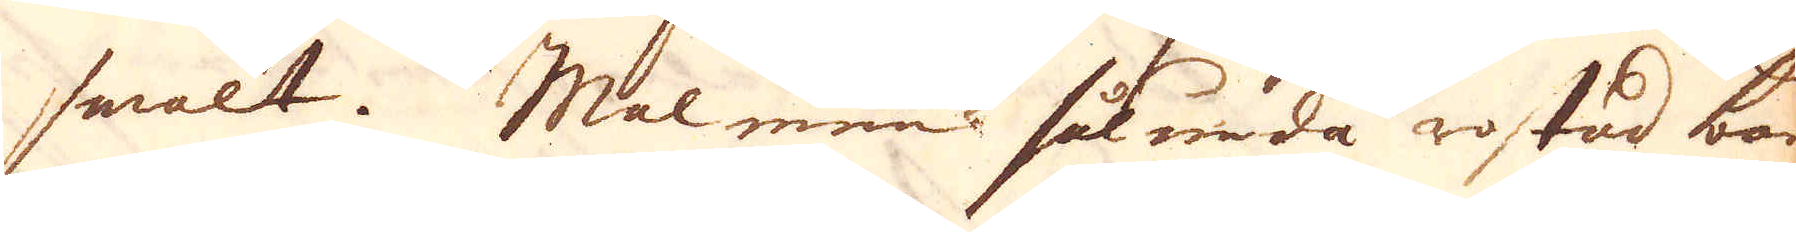smalt. Malmen sålunda rostad bars
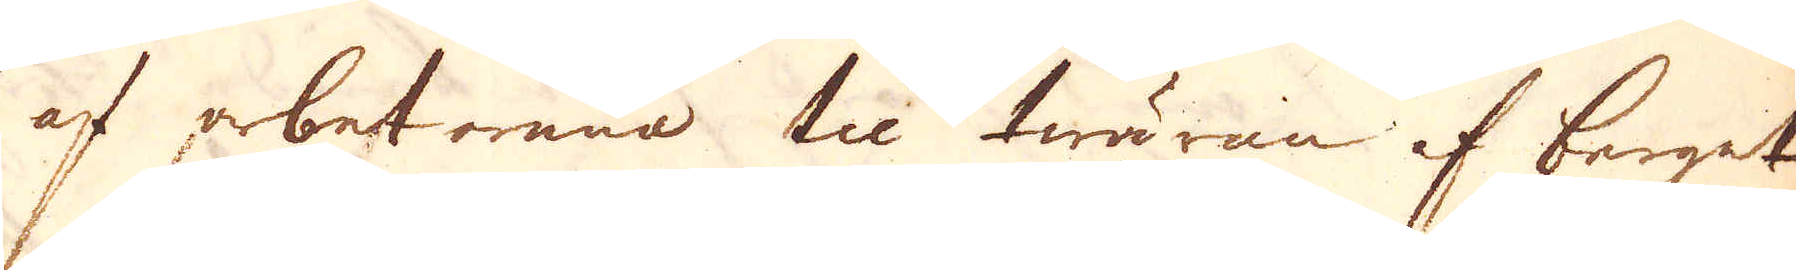af arbetarena til twäran af berget
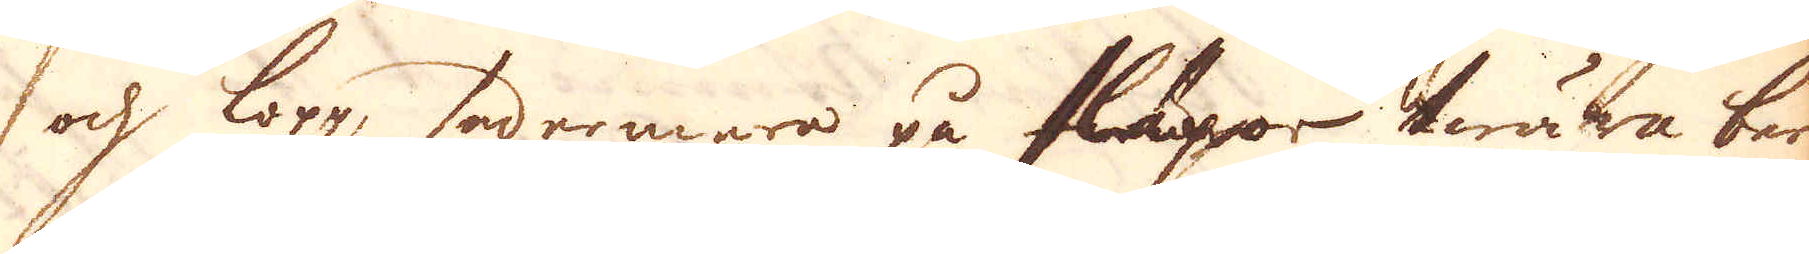och lopp, sedermara på släpor twära ber-
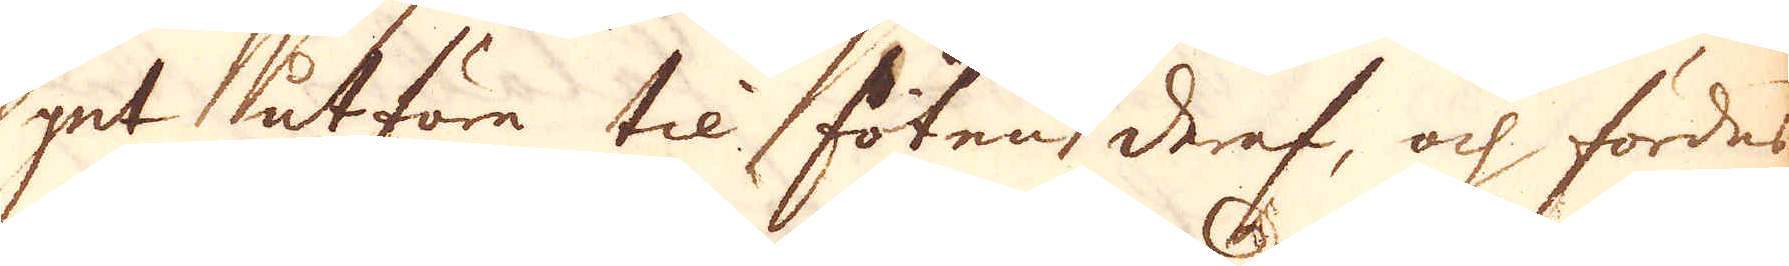get utföre til foten deraf, och fördes
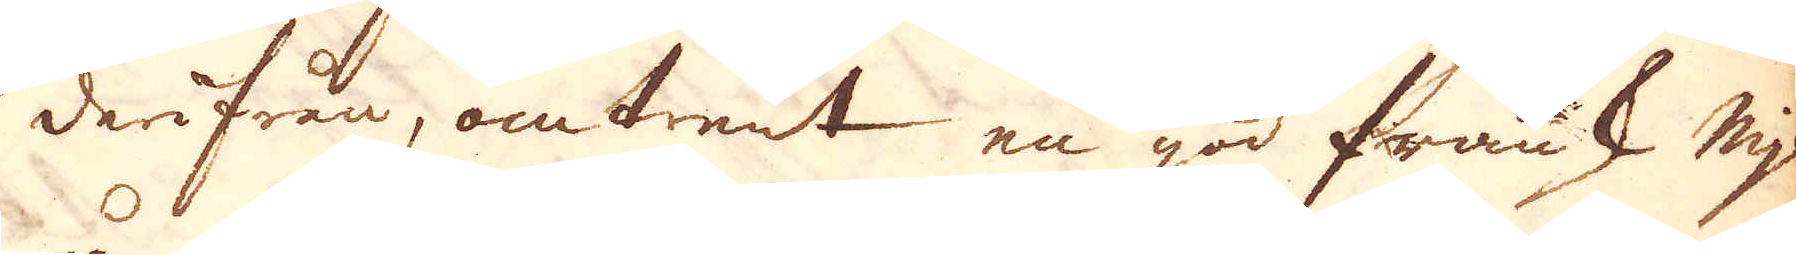derifrån, omtrent en god fransk mijl
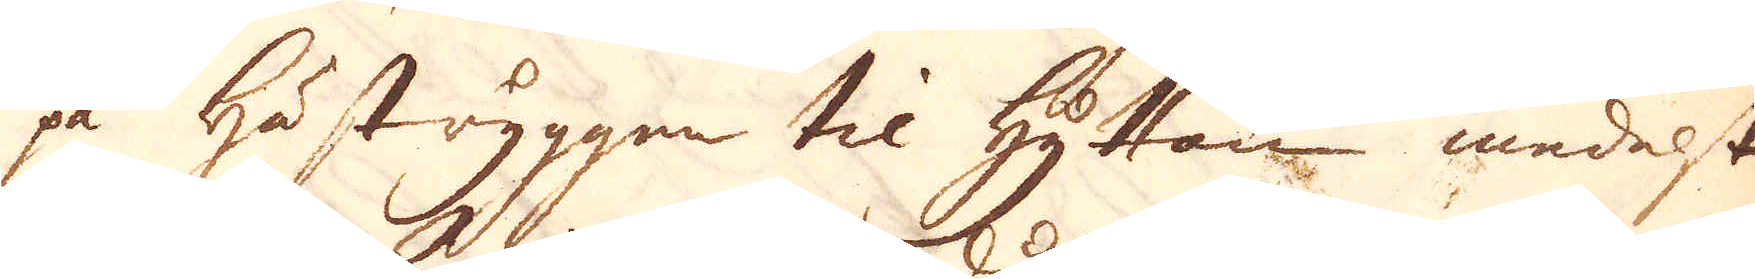på hästryggen til Hyttan medelst
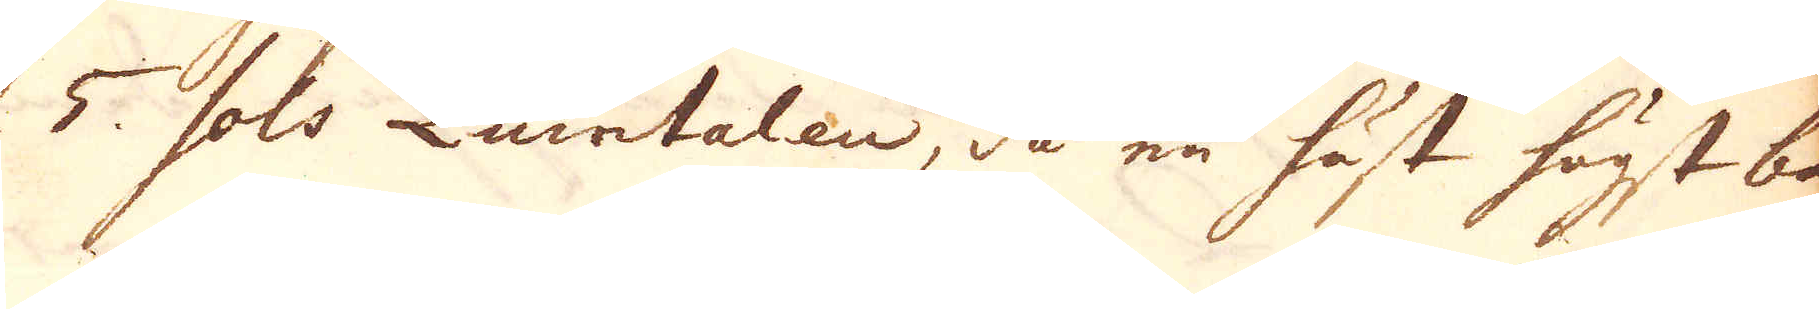5 sols Quintalen, då en häst högst bar
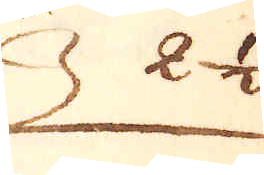2 1/2
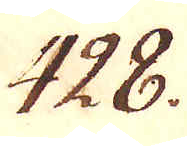428.
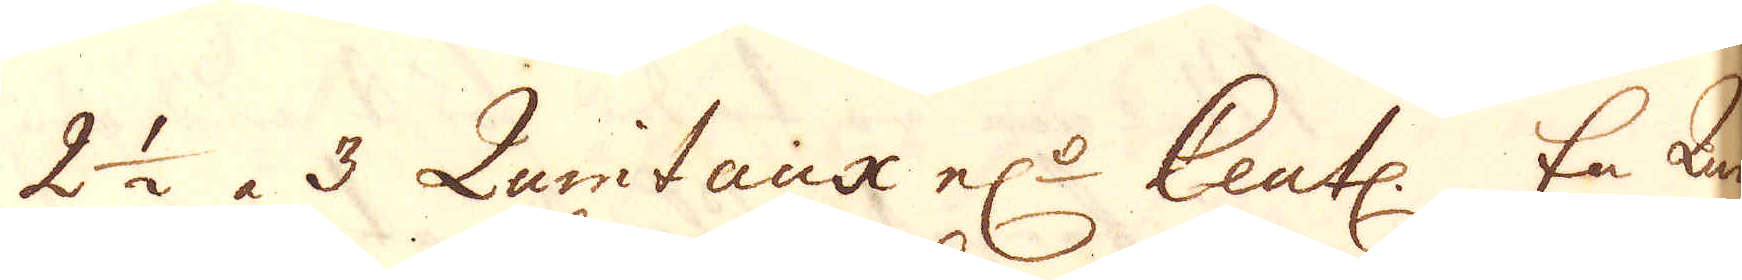2 1/2 à 3 Quintaux el:r Ceutl. En Quin-
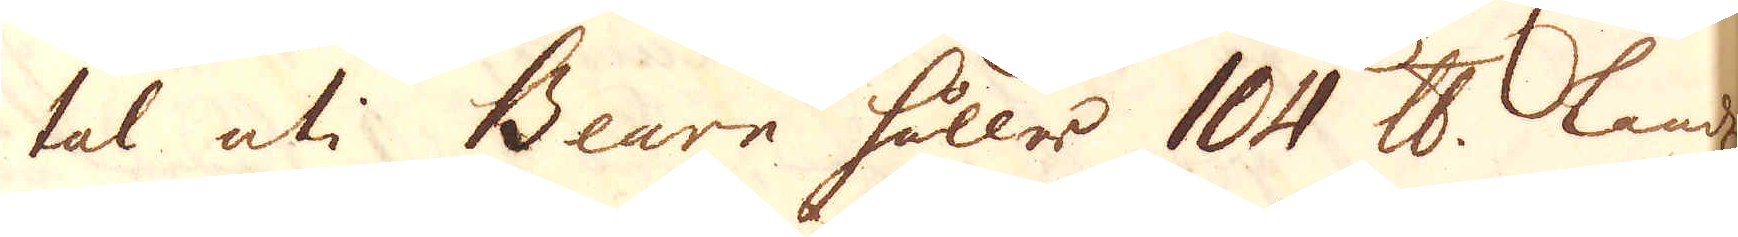tal uti Bearn håller 104 skålpund landz
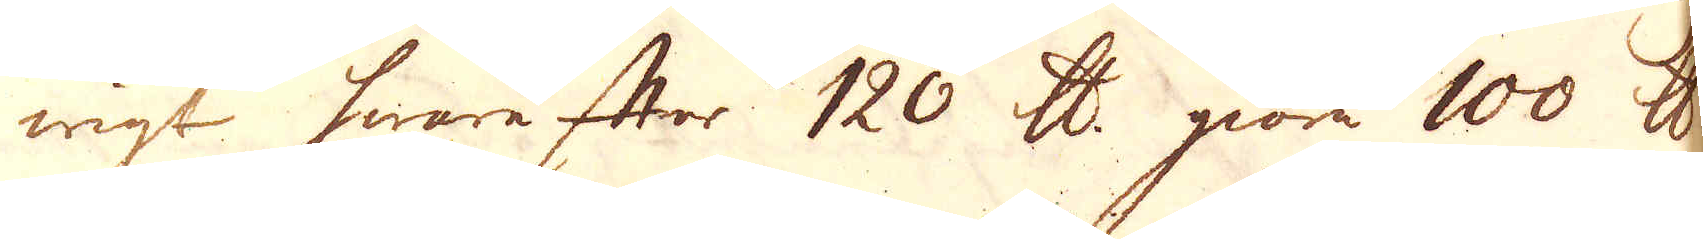wigt hwarefter 120 skålpund giöra 100 skålpund
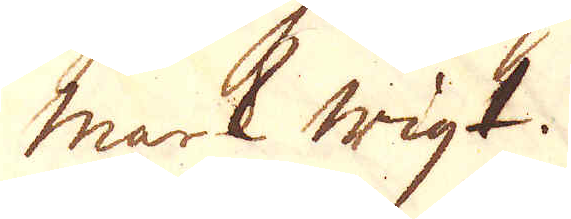mark wigt.
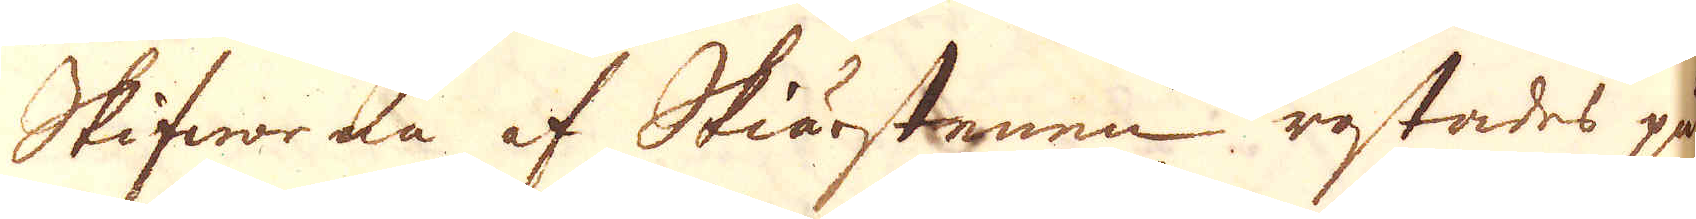Skifworna af Skiärstenen rostades på
